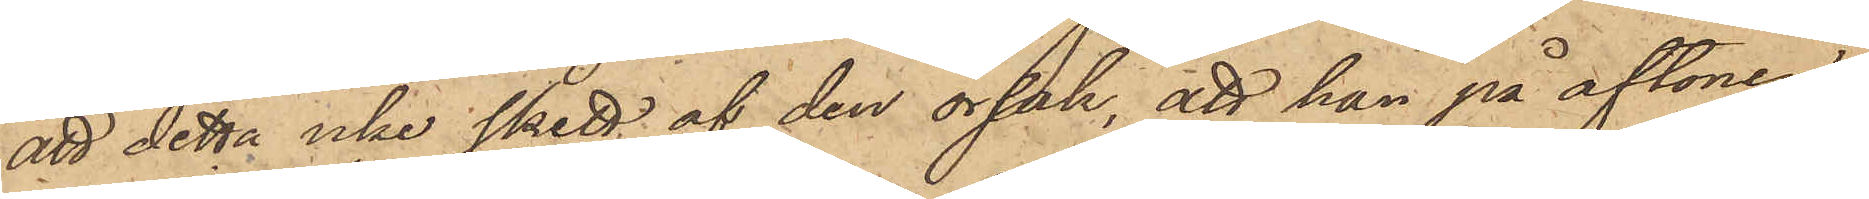att detta icke skett af den orsak, att han på aftonen
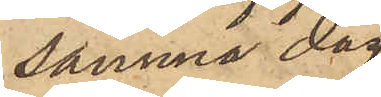samma dag
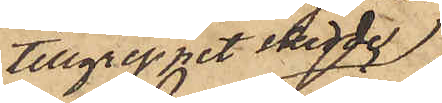tillgreppet skedde
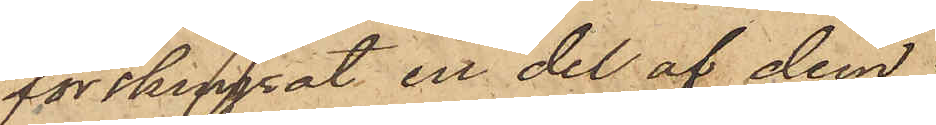förskingrat en del af dem.
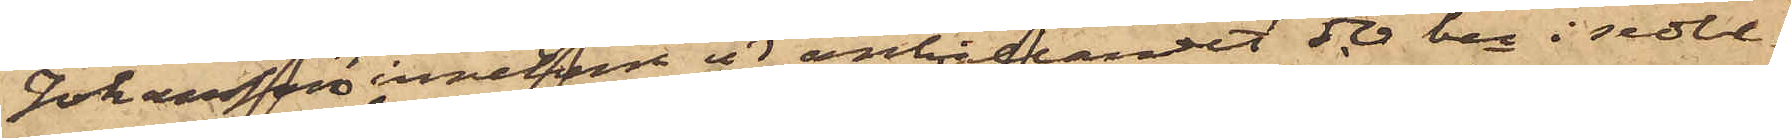Johansson innehade vid anhållandet 50 kr i sedlar
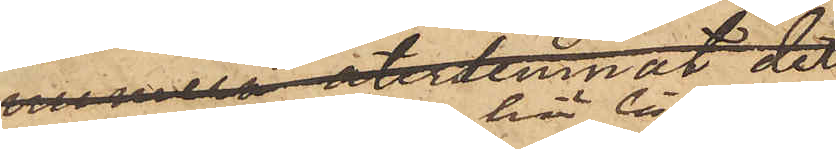som här bifogas.
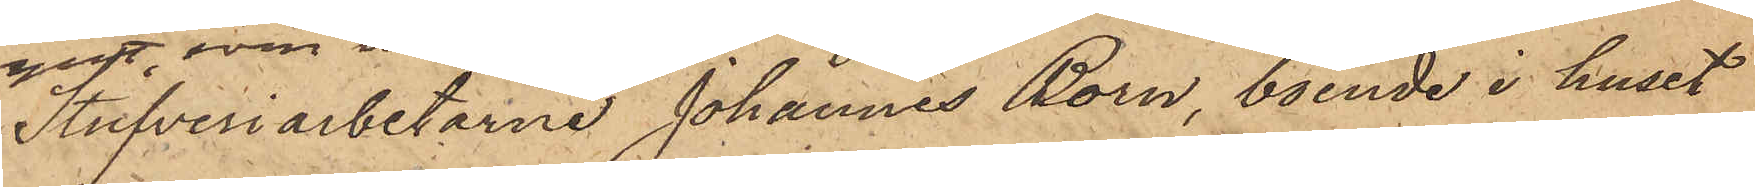Strufveriarbetarne Johannes Born, boende i huset
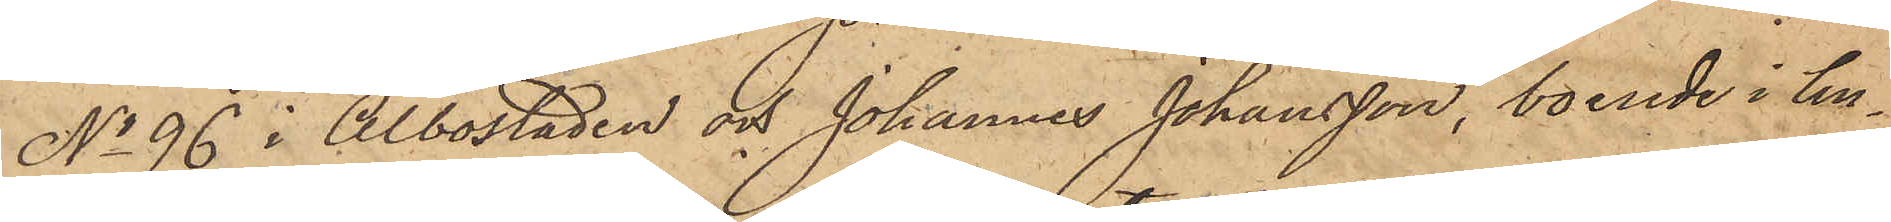No 96 i Albostaden och Johannes Johansson, boende i hu¬
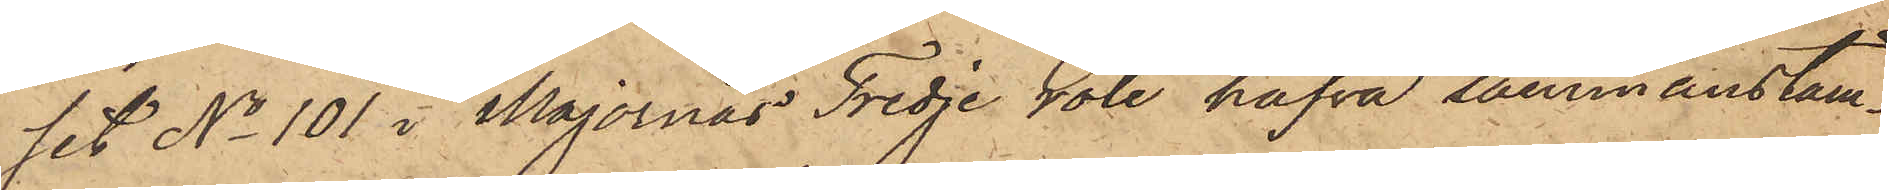set No 101 i Majornas Tredje rote hafva sammanstäm¬
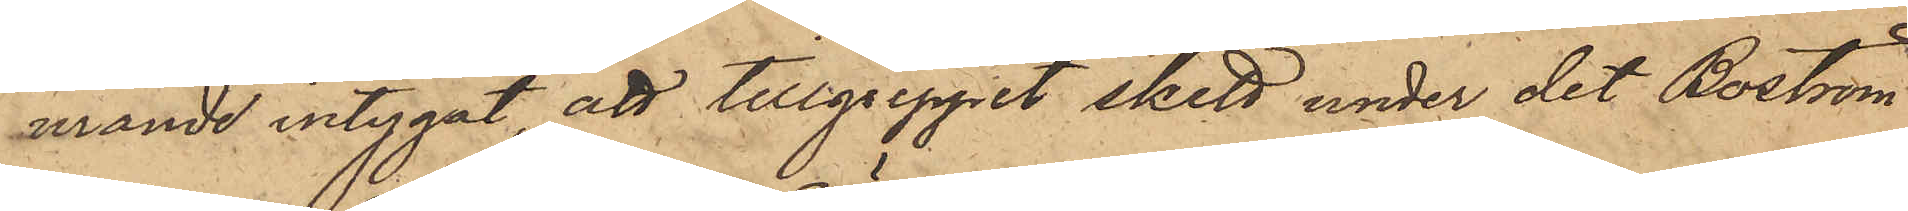mande intygat, att tillgreppet skett under det Boström
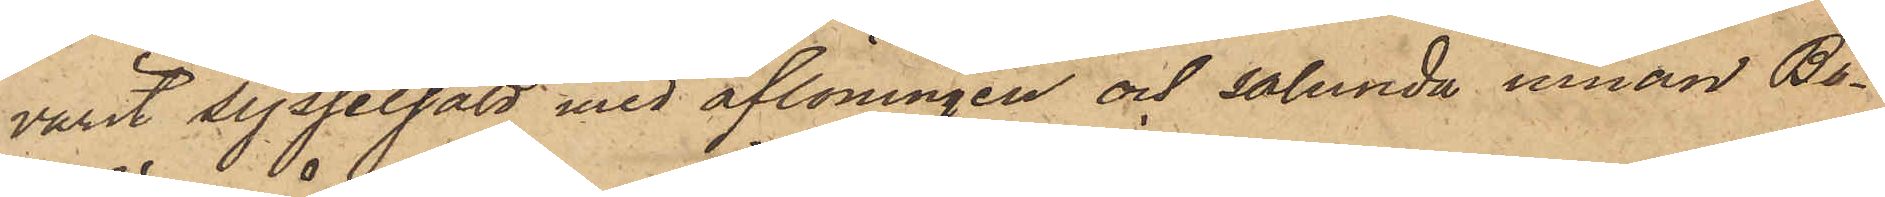varit sysselsatt med aflöningen och sålunda innan Bo¬
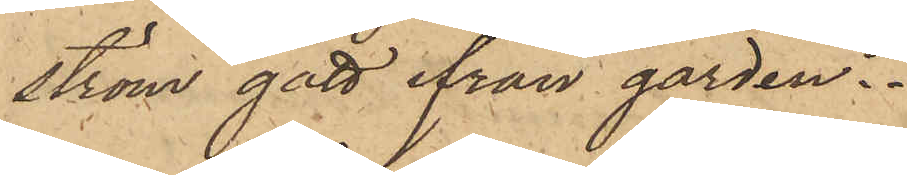ström gått ifrån gården.
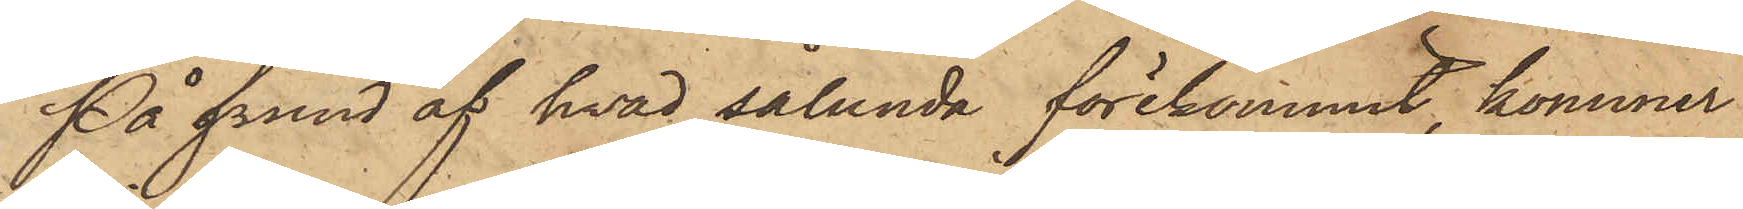På grund af hvad sålunda förekommit, kommer
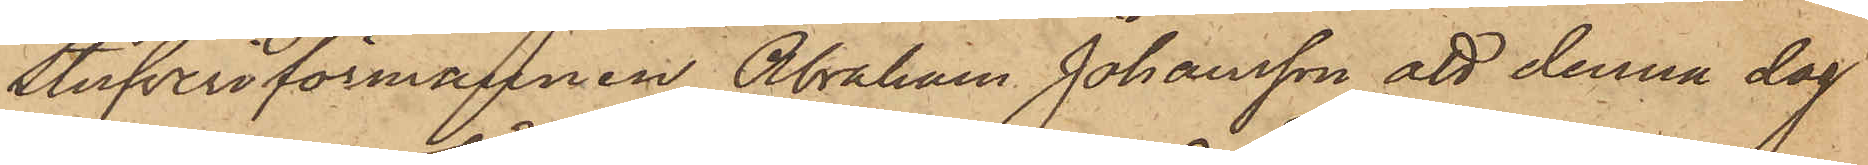stufveriförmannen Abraham Johansson att denna dag
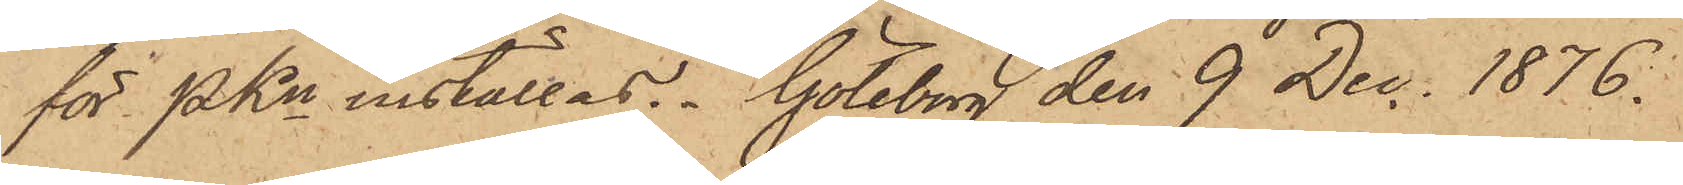för PKn inställas. Göteborg den 9 Dec. 1876.
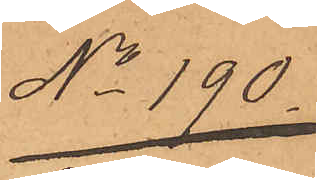No 190.
